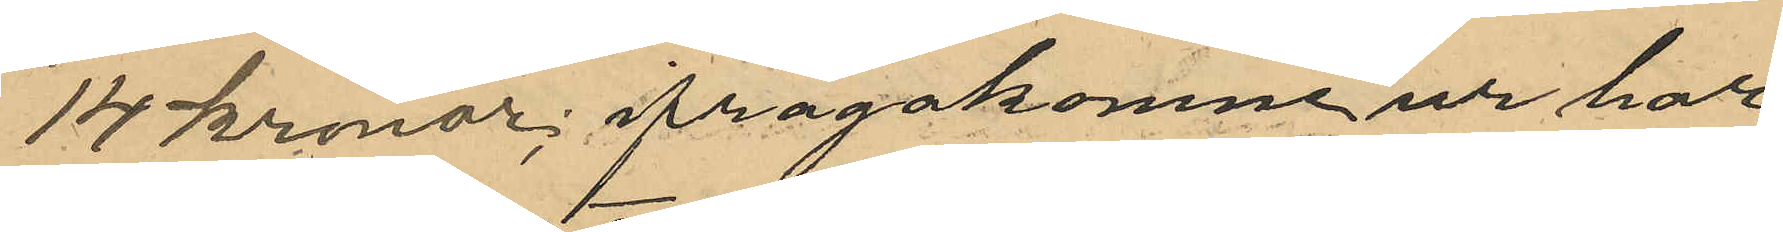14 Kronor; ifrågakomne ur har
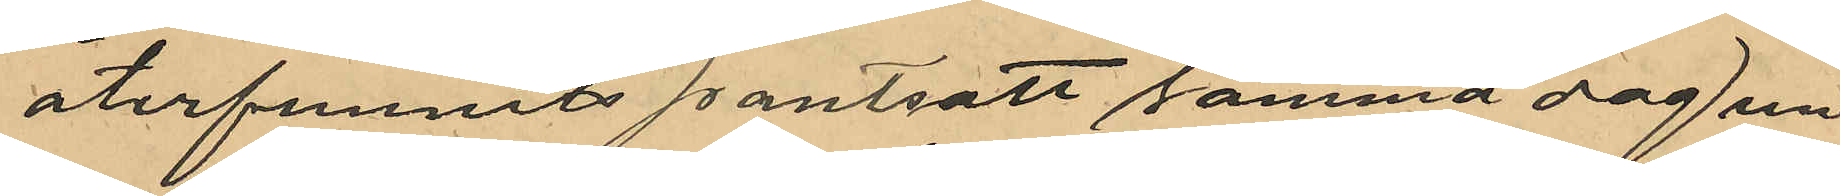återfunnits pantsatt samma dag un¬
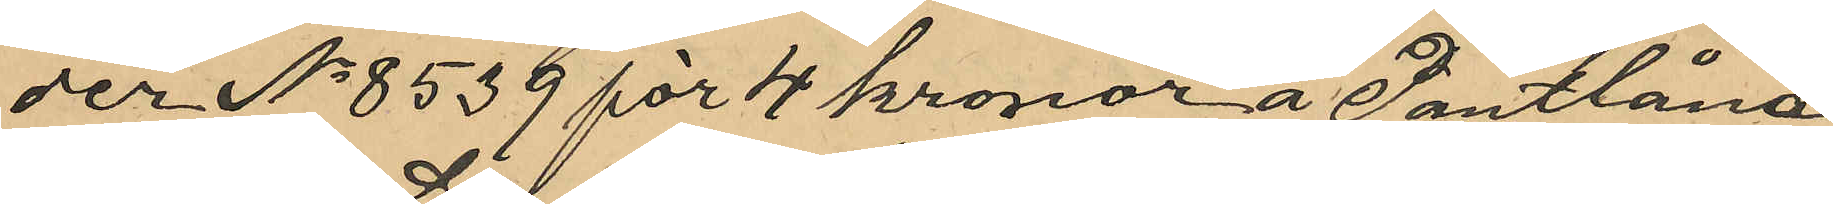der No 8539 för 4 kronor å Pantlåna¬
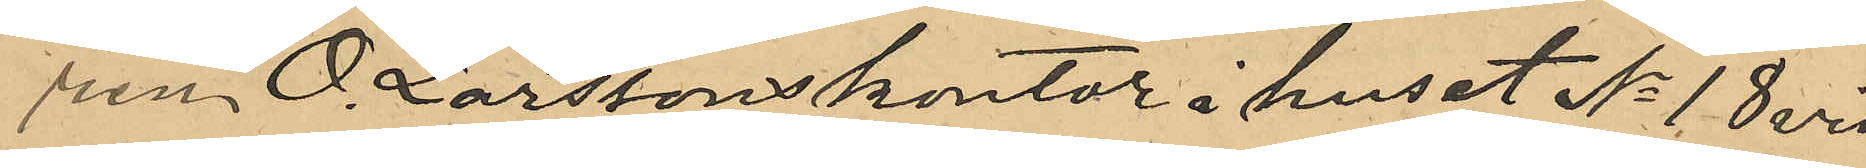ren O. Larssons kontor i huset No 18 vid
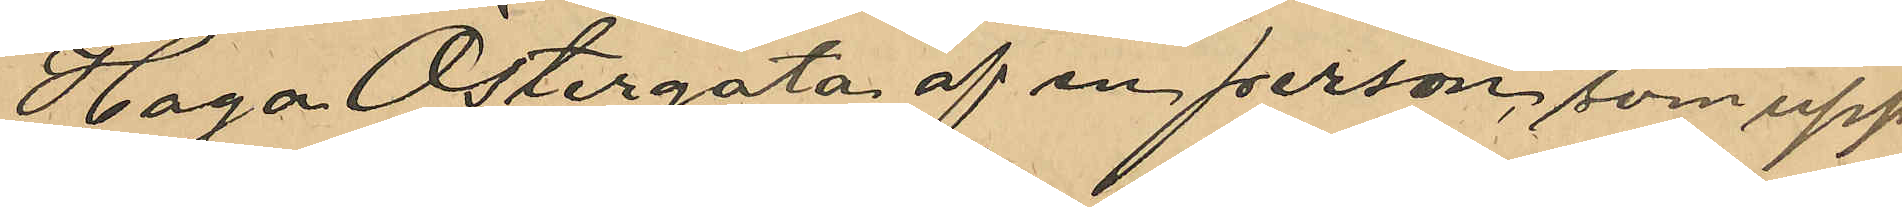Haga Östergata af en person som upp¬
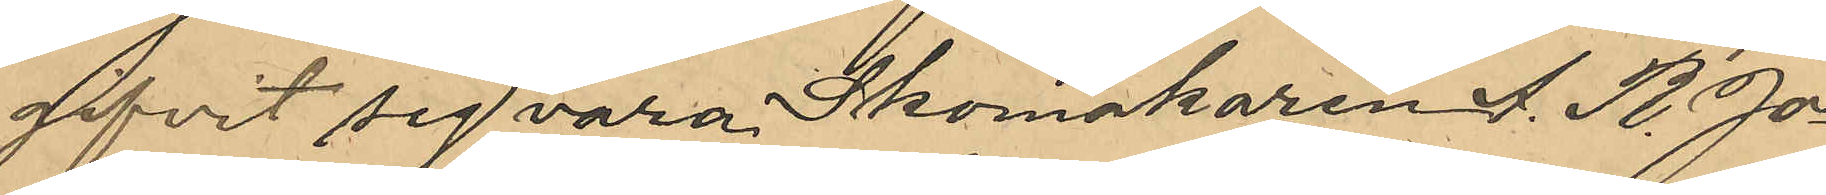gifvit sig vara Skomakaren A. R. Jo¬
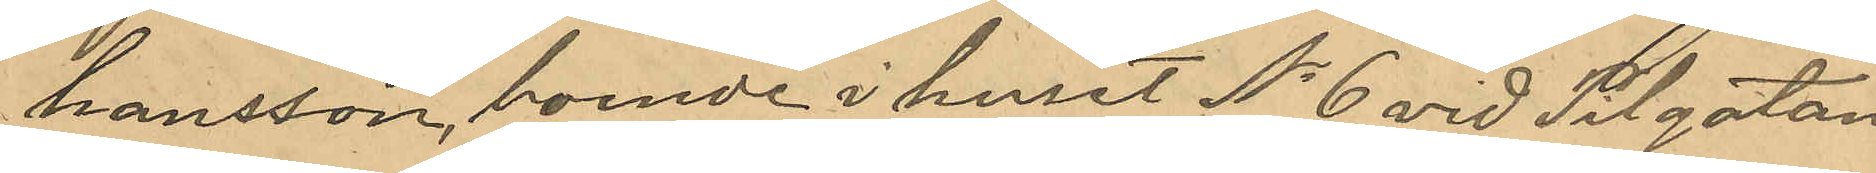hansson, boende i huset No 6 vid Pilgatan.
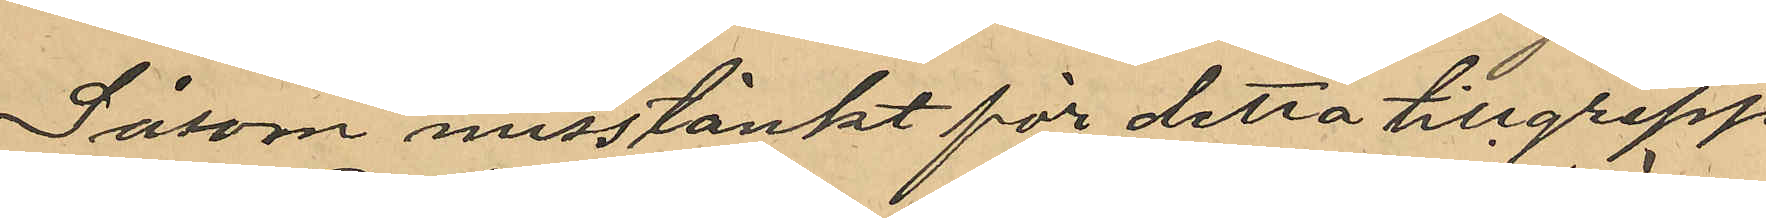Såsom misstänkt för detta tillgrepp
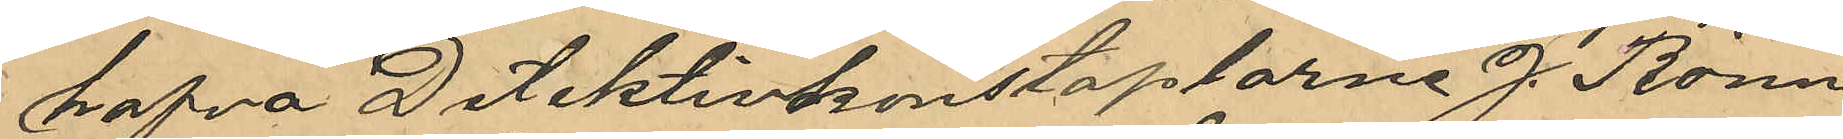hafva Detektivkonstaplarne J. Rönn¬
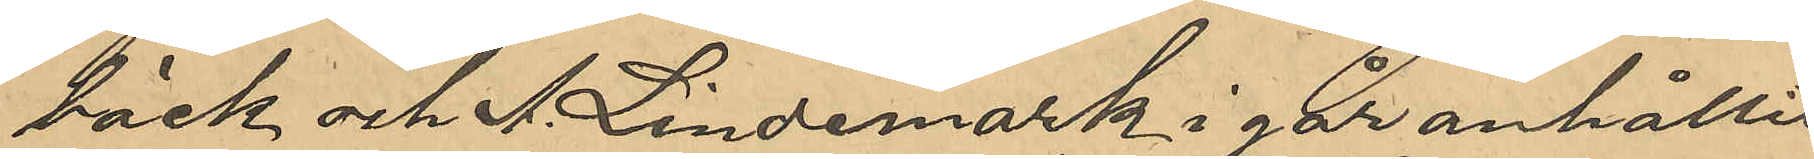bäck och A. Lindemark i går anhållit
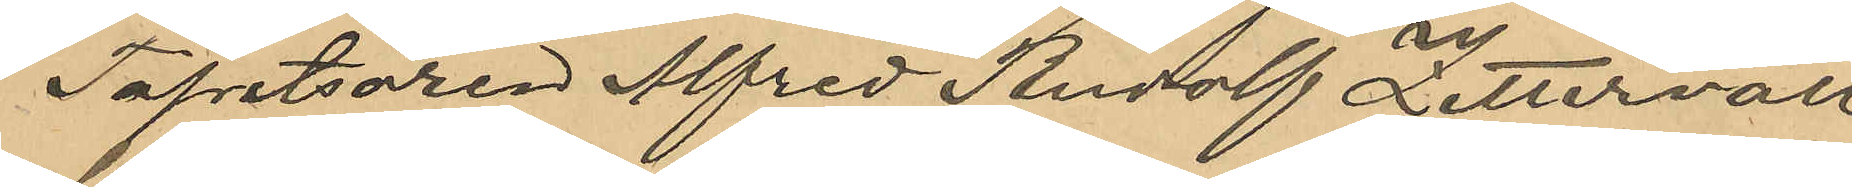Tapetsören Alfred Rudolf Zettervall
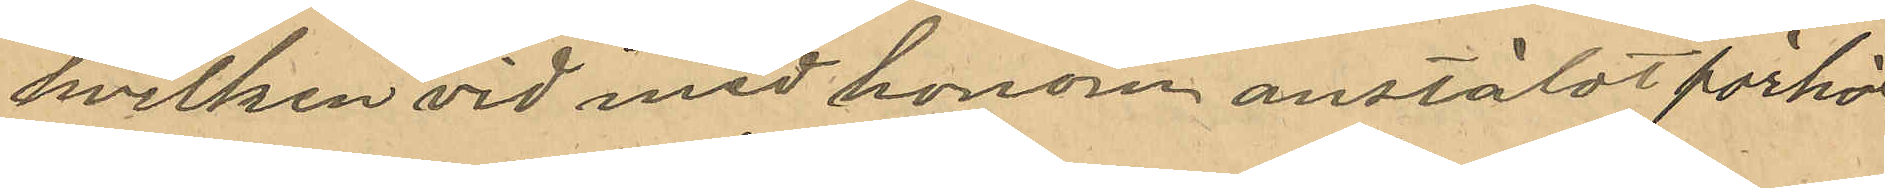hvilken med honom anstäldt förhör
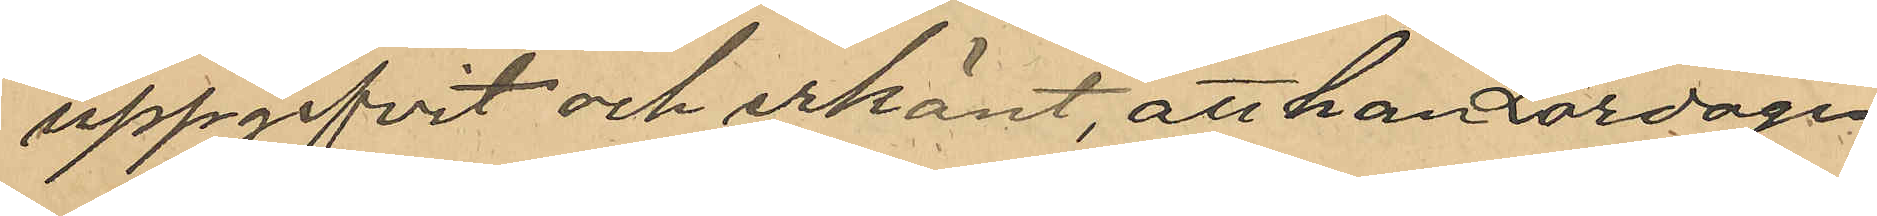uppgifvit och erkänt, att han Lördagen
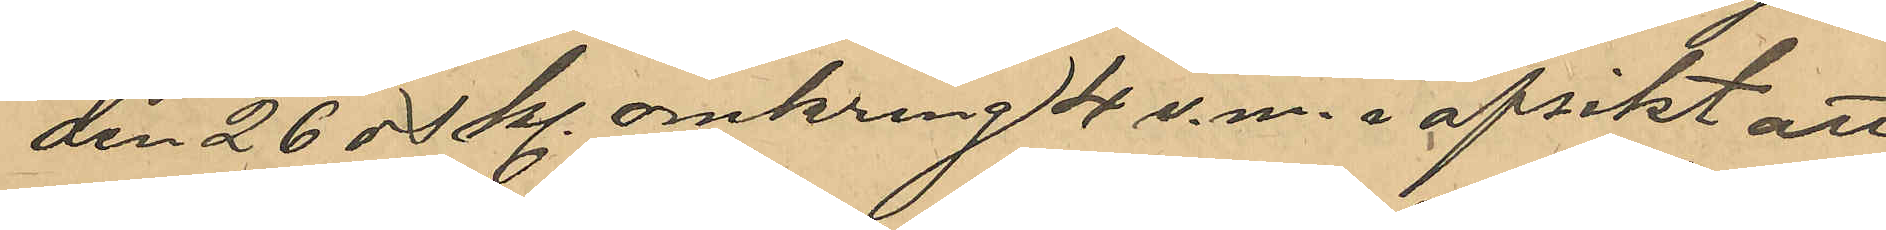den 25 ds Kl omkring 4 e.m. i afsikt att
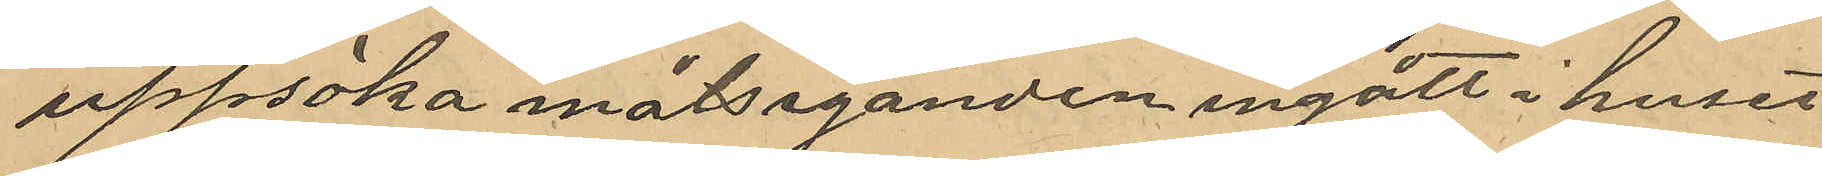uppsöka målseganden ingått i huset
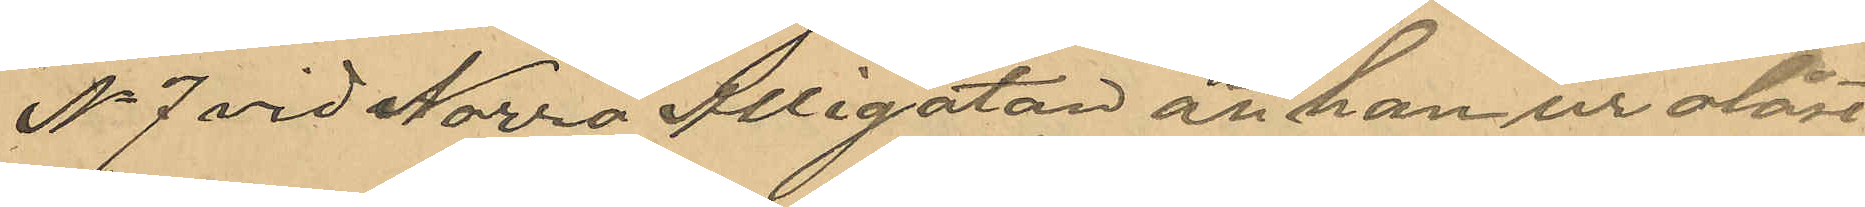No 7 vid Norra Allégatan att han ur olåst
